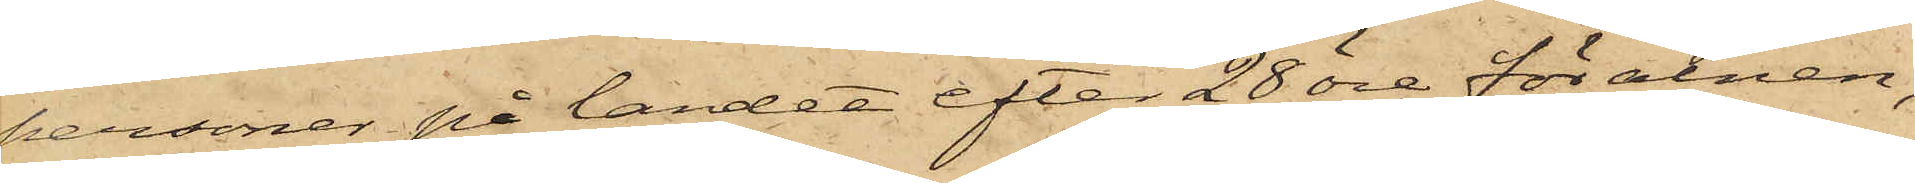personer på landet efter 28 öre för alnen,
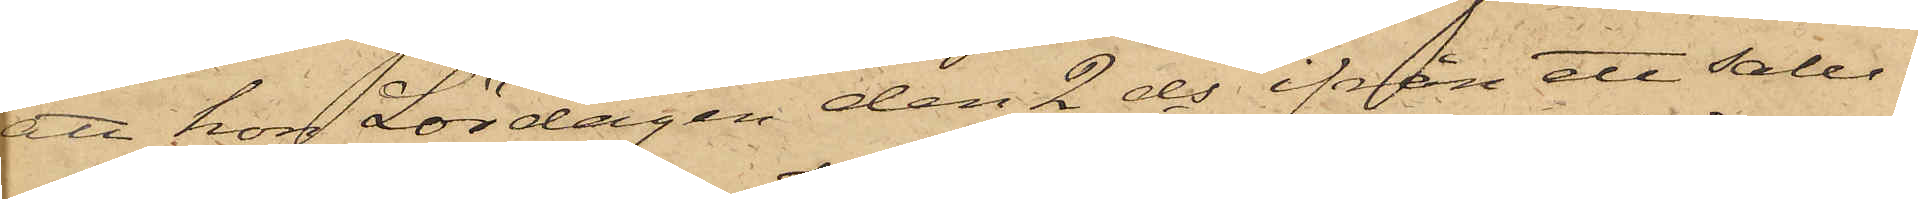att hon Lördagen den 2 ds ifrån ett salu¬
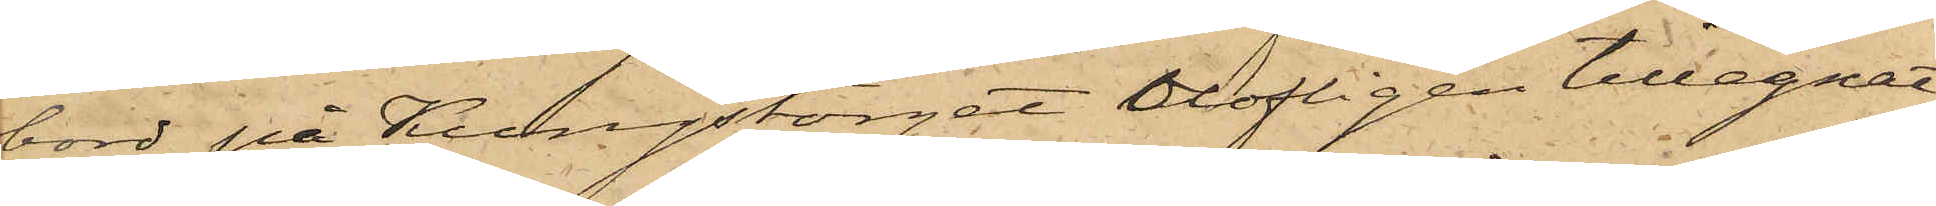bord på Kungstorget olofligen tillegnat
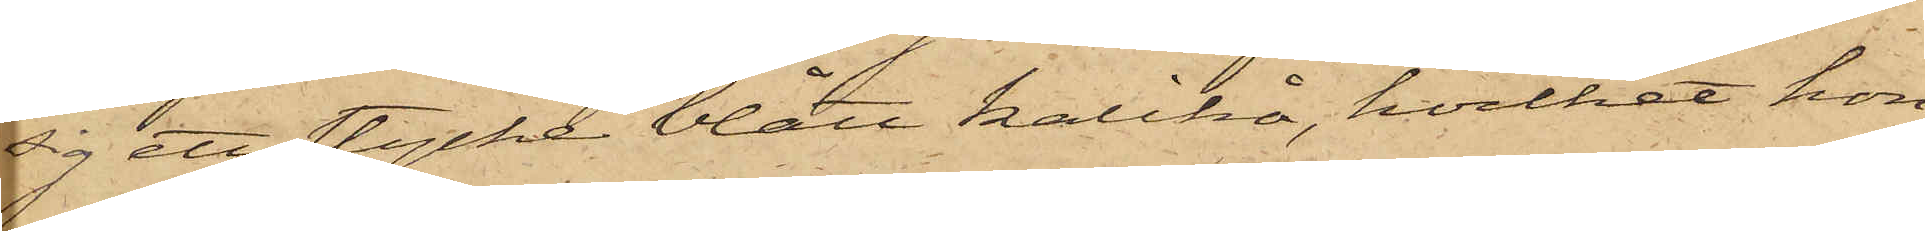sig ett stycke blått kalikå, hvilket hon
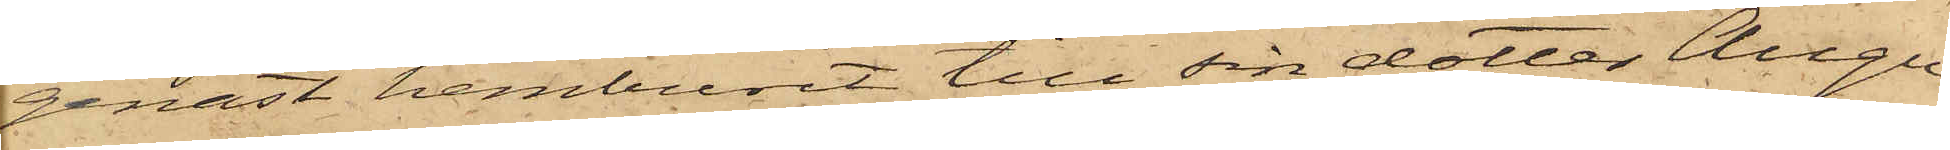genast hemburit till sin dotter Augu¬
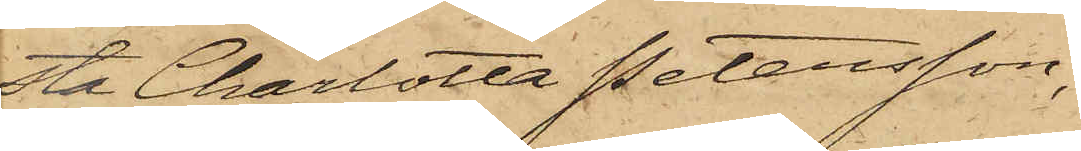sta Charlotta Petersson,
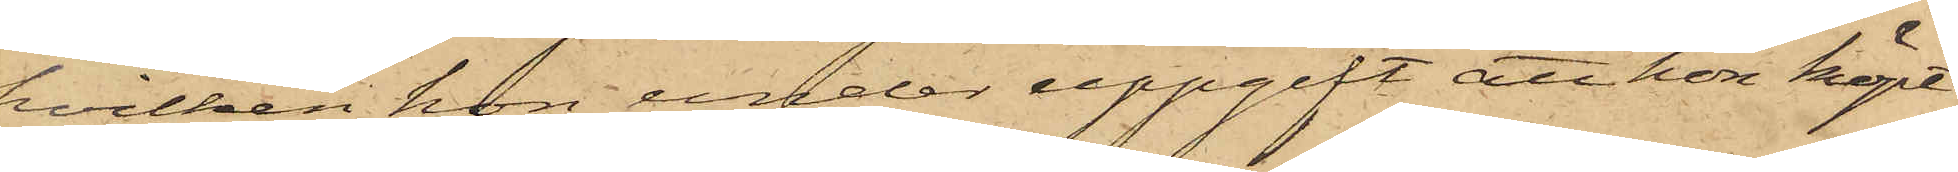hvilken hon, under uppgift att hon köpt
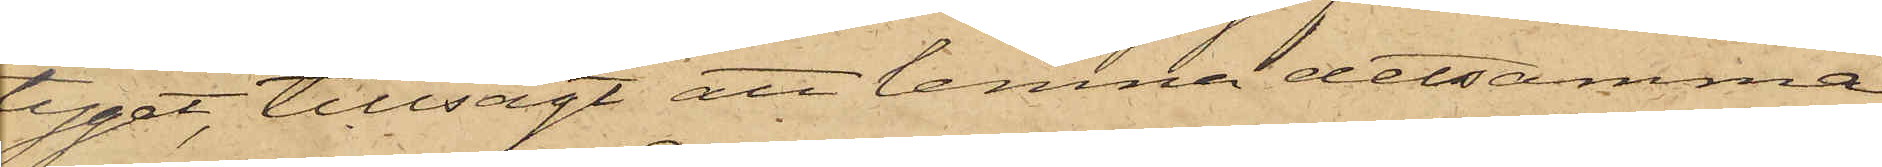tyget, tillsagt att lemna detsamma
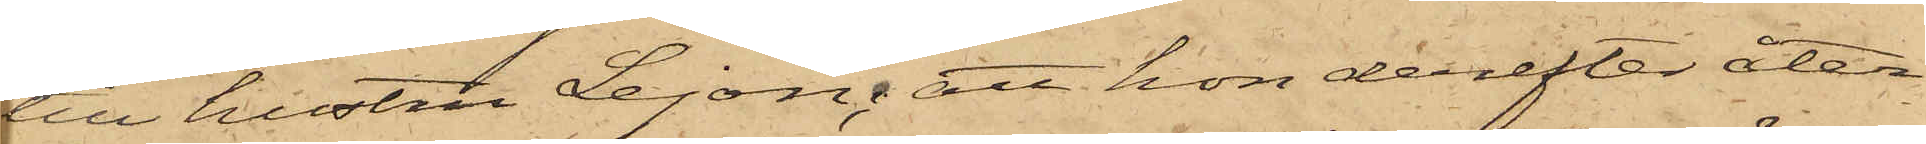till hustru Lejon; att hon derefter åter¬
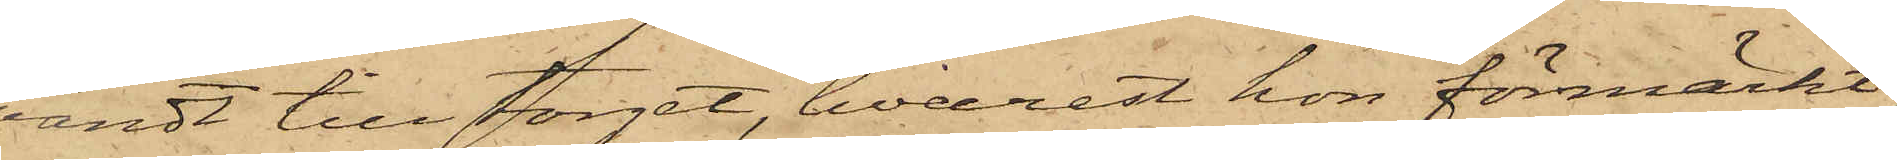vändt till torget, hvarest hon förmärkt,
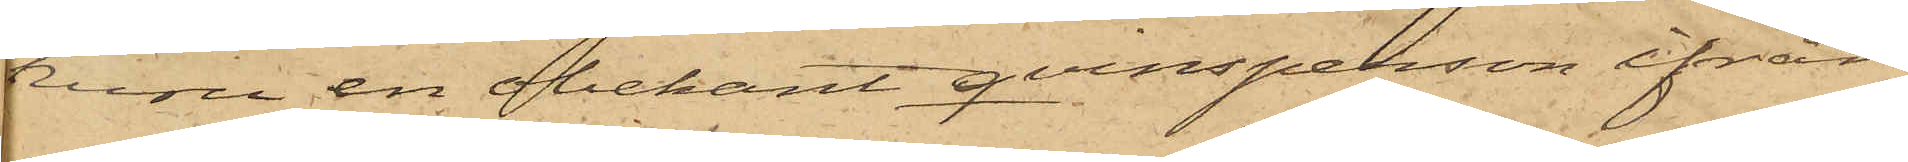huru en obekant qvinsperson ifrån
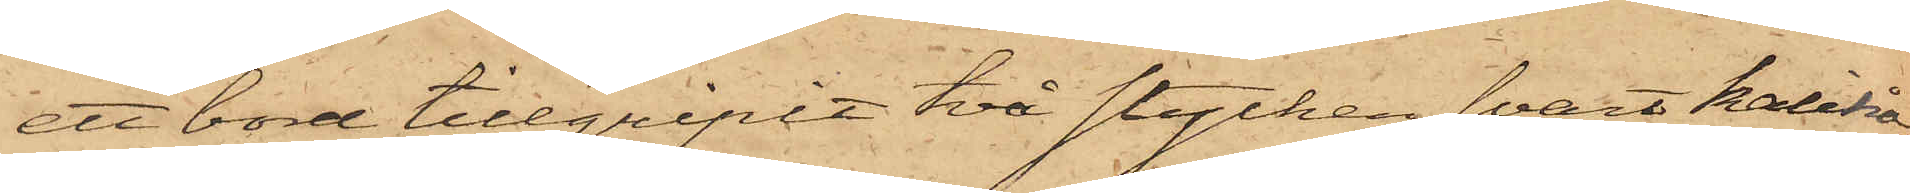ett bord tillgripit två stycken svart kalikå,
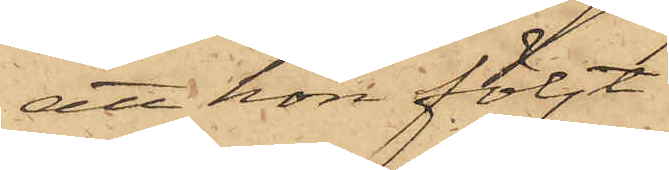att hon följt
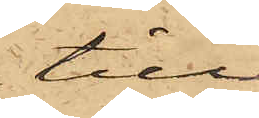till
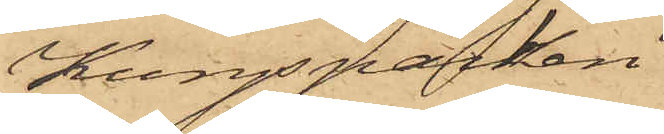Kungsparken
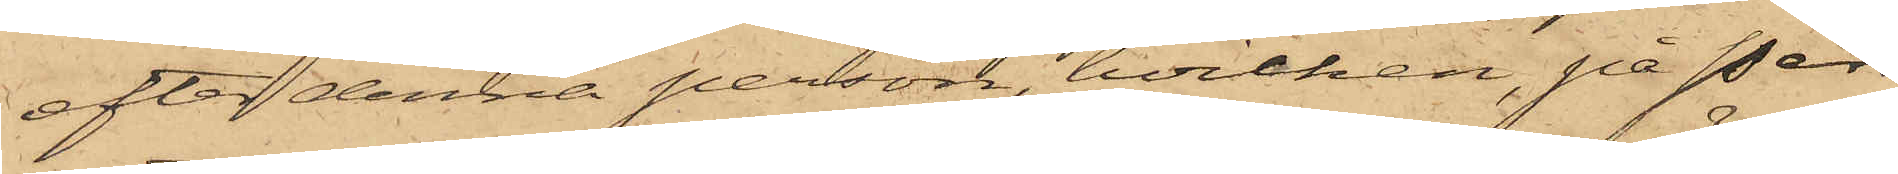efter denna person, hvilken, på Pers¬
